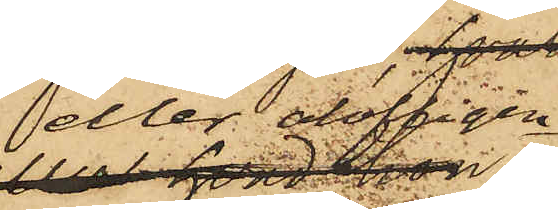eller olofligen
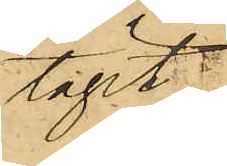tagit;
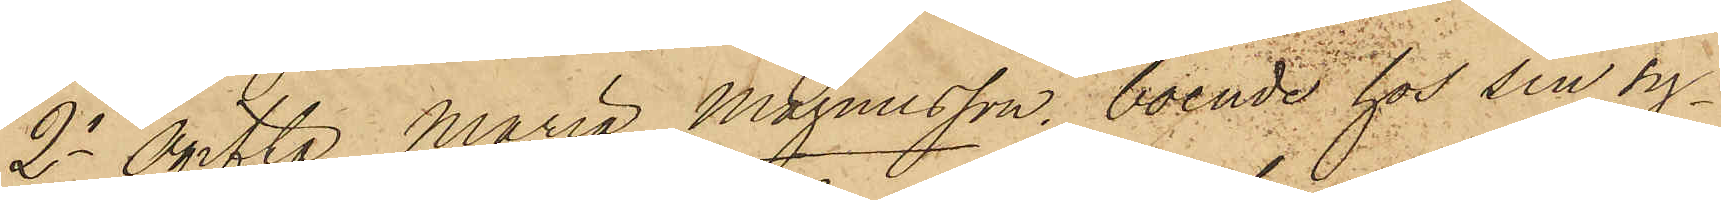2o Ogifta Maria Magnusson, boende hos sin sy¬
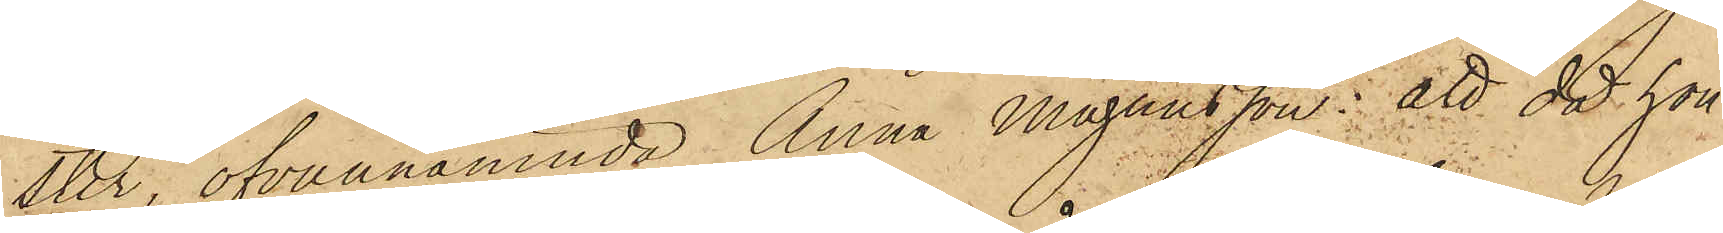ster, ofvannämnde Anna Magnusson: att då hon
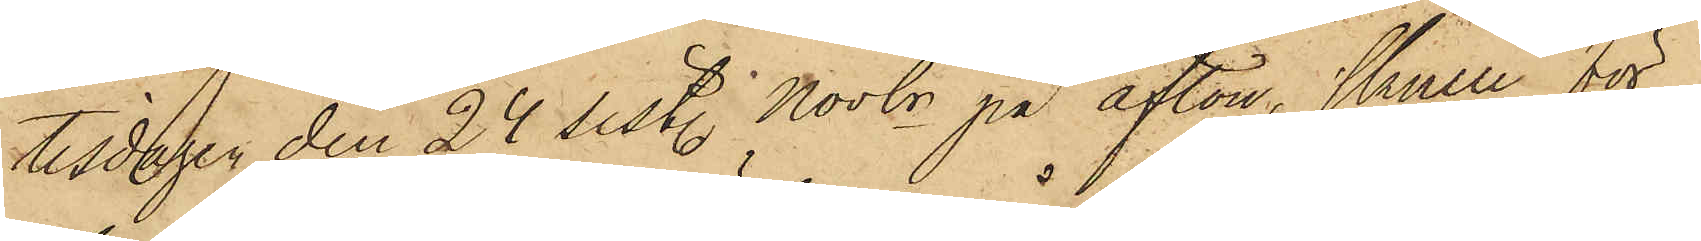tisdagen den 24 sist. Novbr på afton, skulle för
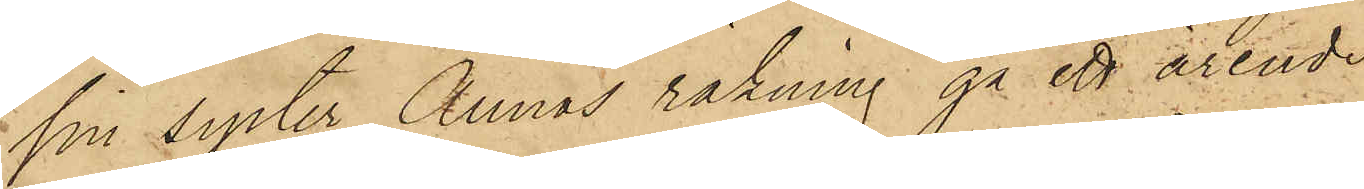sin syster Annas räkning gå ett ärende,
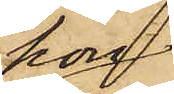hon
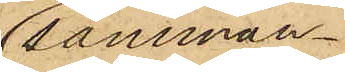samman¬
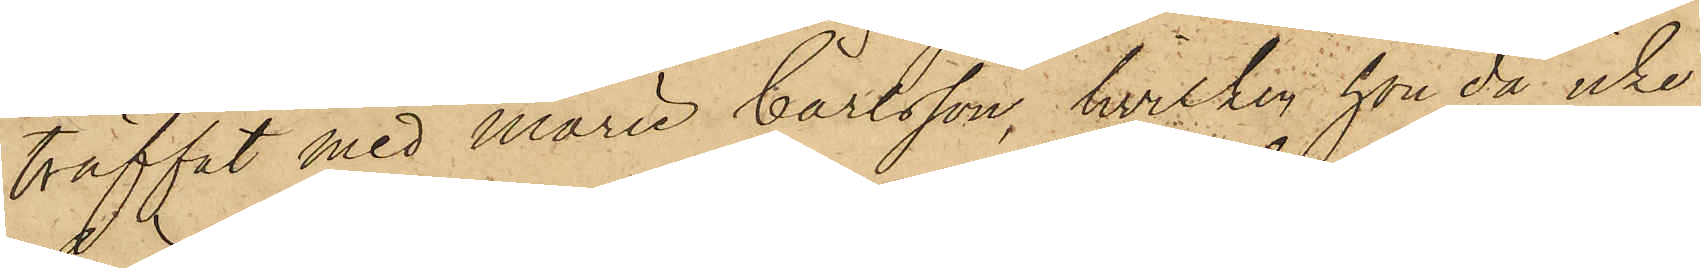träffat med Marie Carlsson, hvilken hon då icke
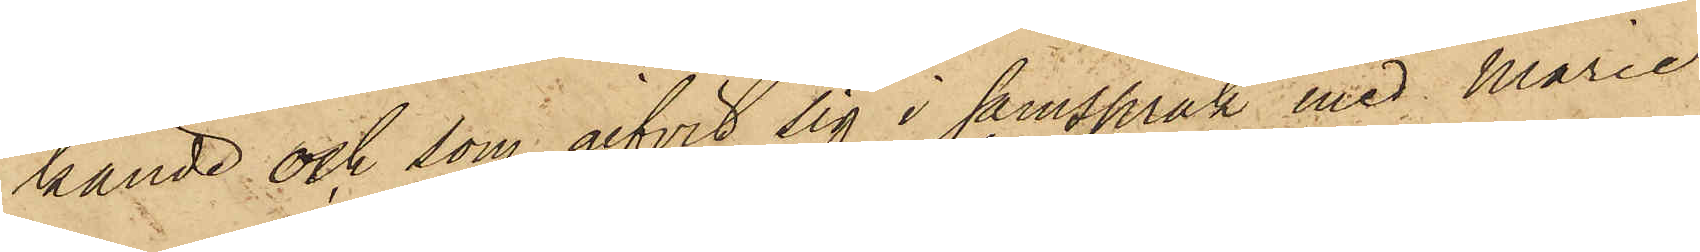kände och som gifvit sig i samspråk med Marie
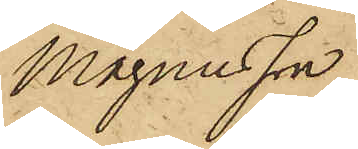Magnusson
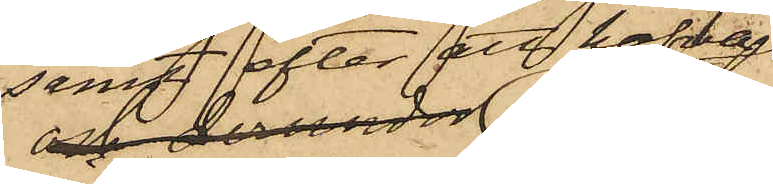samt efter att hafva
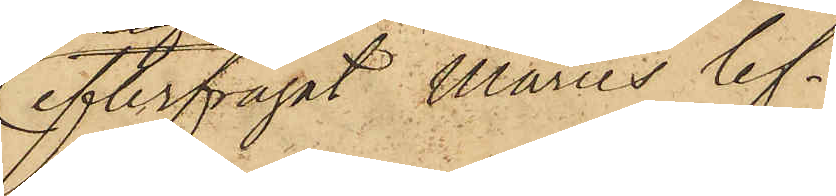efterfrågat Maries lef¬
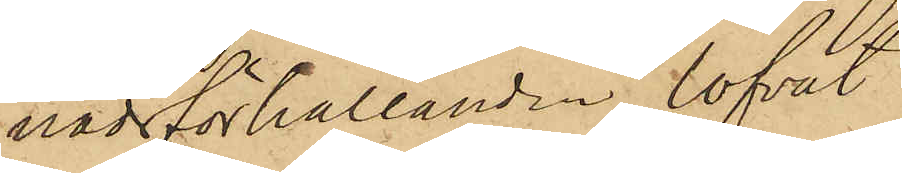nadsförhållanden, lofvat
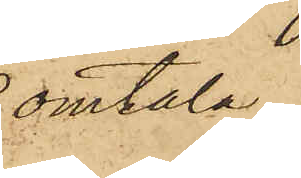omtala
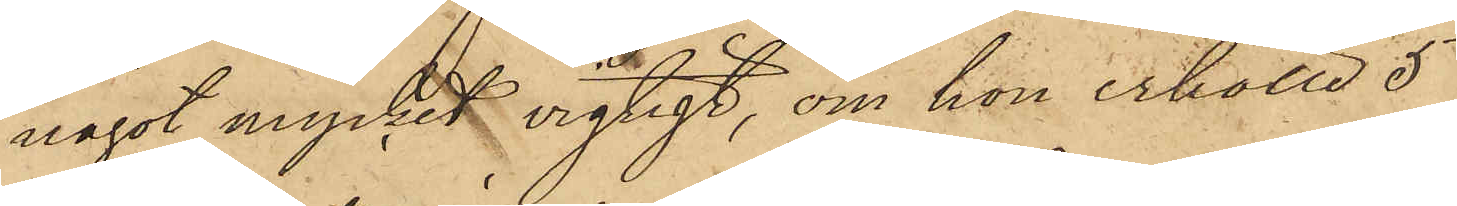något mycket vigtigt, om hon erhölle 5
